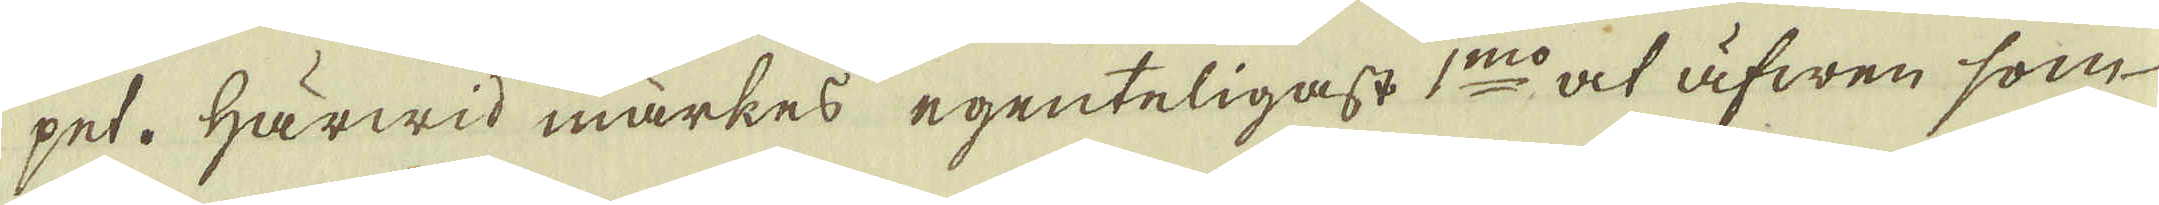pet. Härwid märkes egenteligast 1:mo at äfwen som
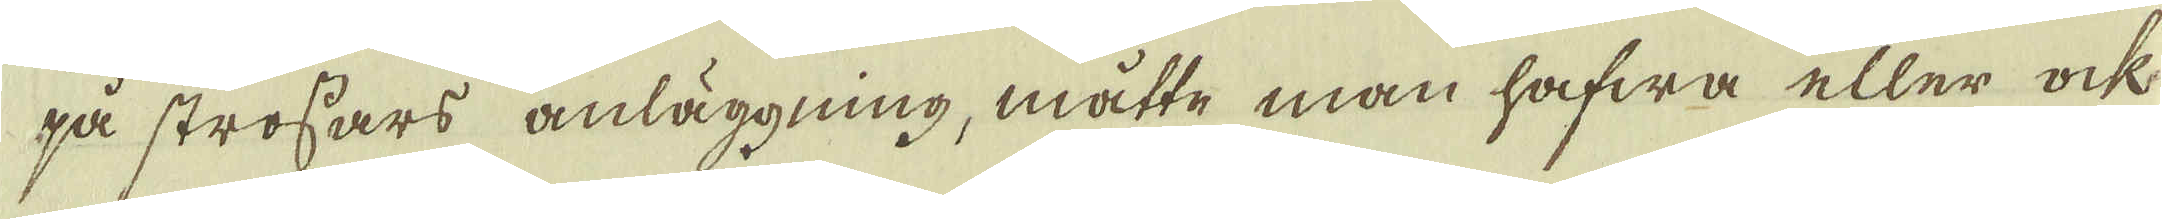på strossars anläggning, måtte man hafwa eller ock
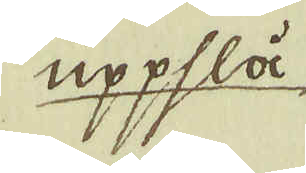uppslå,
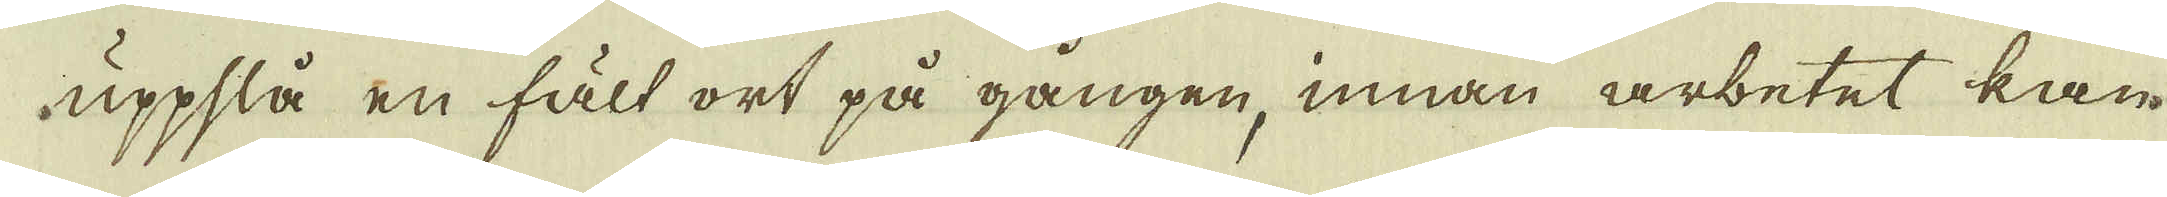uppslå en fält ort på gången, innan arbetet kan
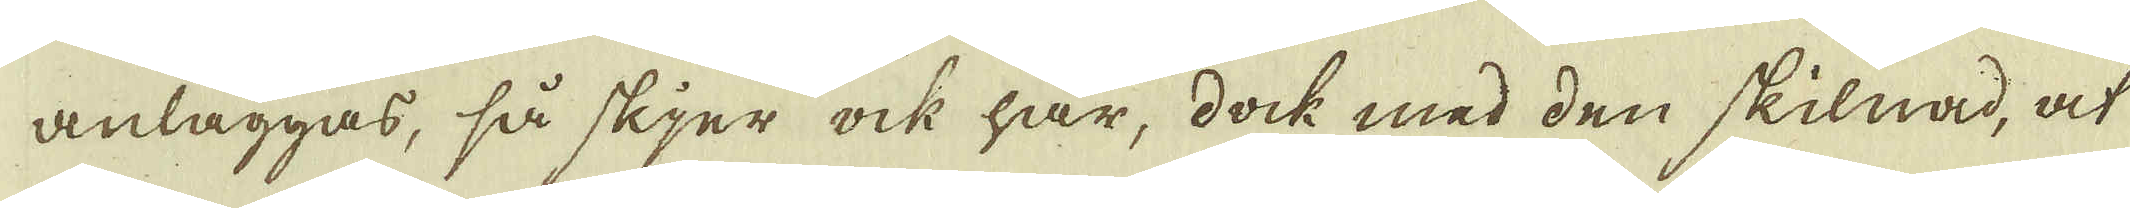anläggas, så skjer ock här, dock med den skilnad, at
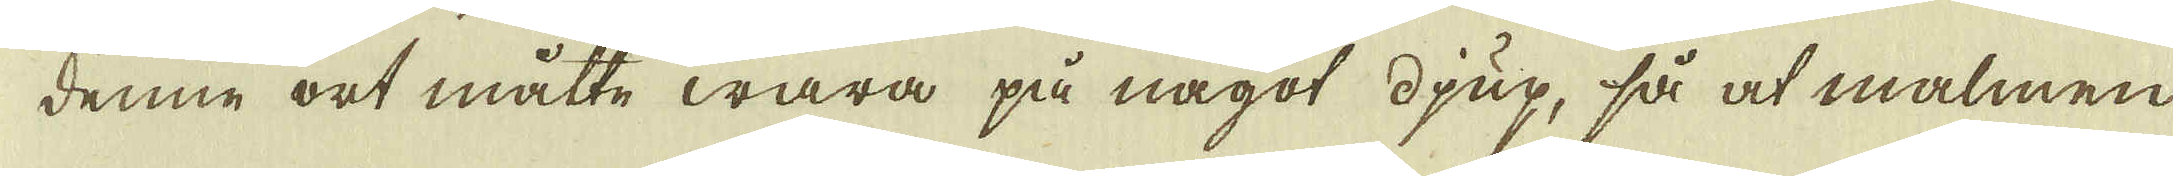denne ort måtte wara på något djup, så at malmen
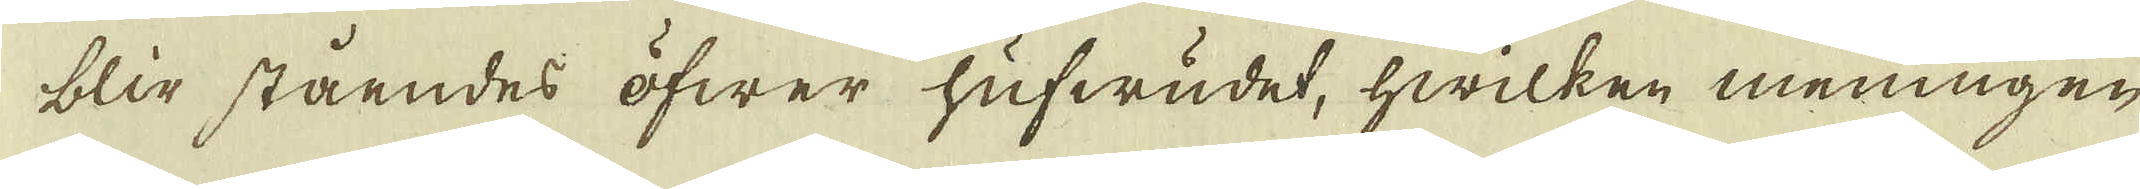blir ståendes öfwer hufwudet, hwilken meningen
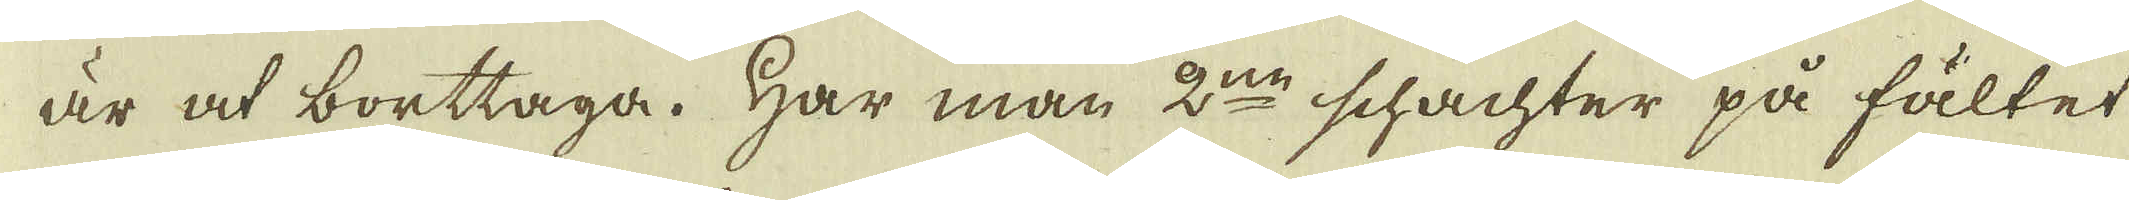är at borttaga. Har man 2:ne schachter på fältet
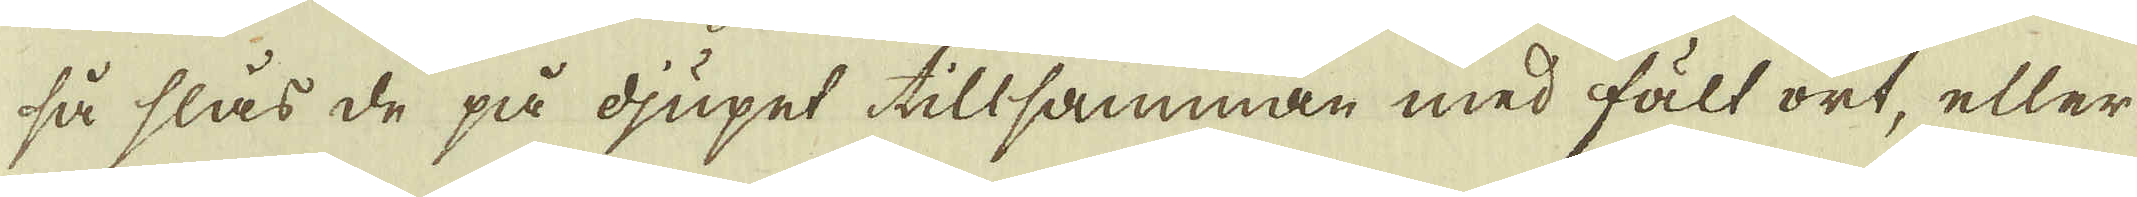så slas de på djupet tillsamman med fält ort, eller
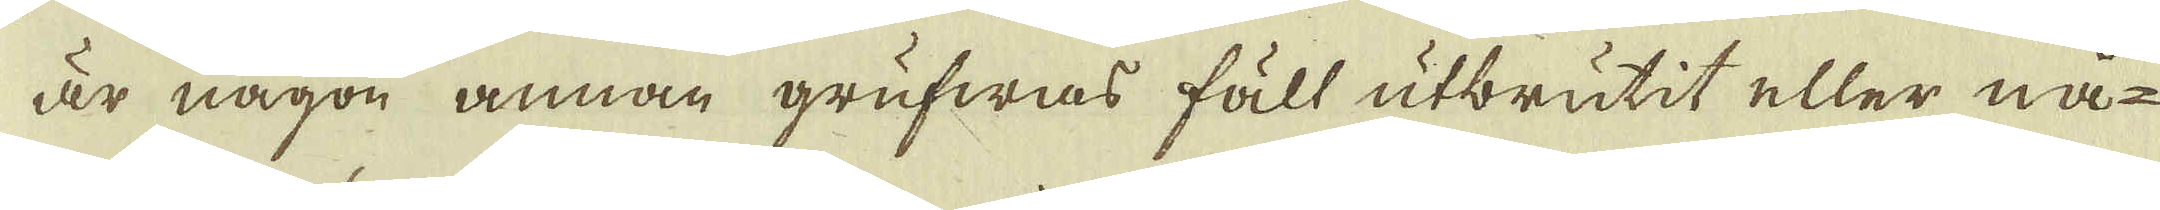är någon annan grufwas fäll utbrutit eller nå-
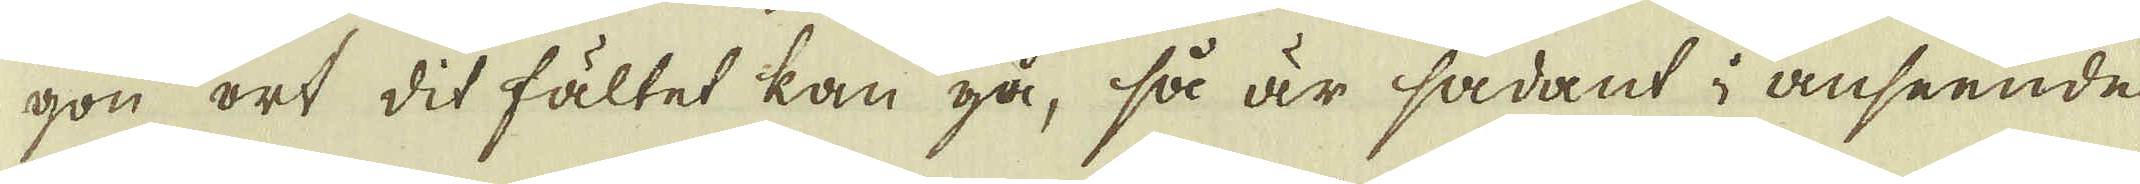gon ort dit fältet kan gå, så är sådant i anseende
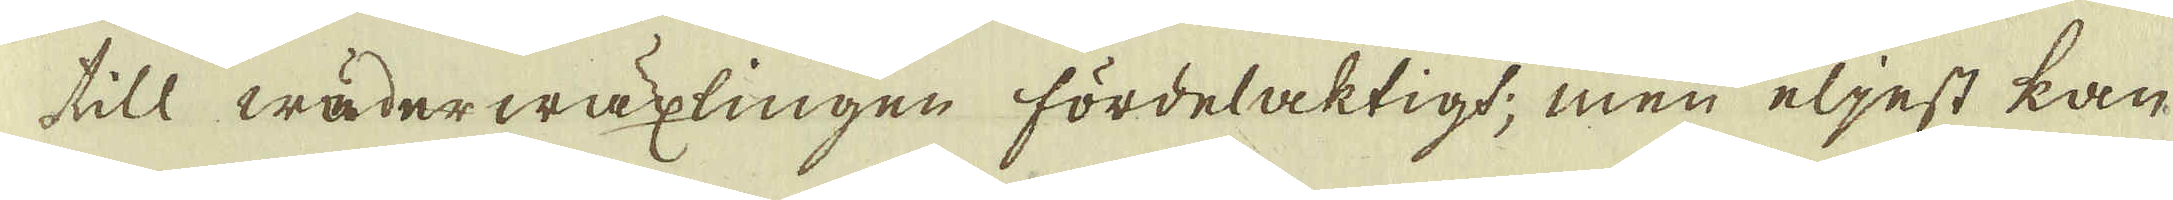till wäderwäxlingen fördelaktigt; men eljest kan
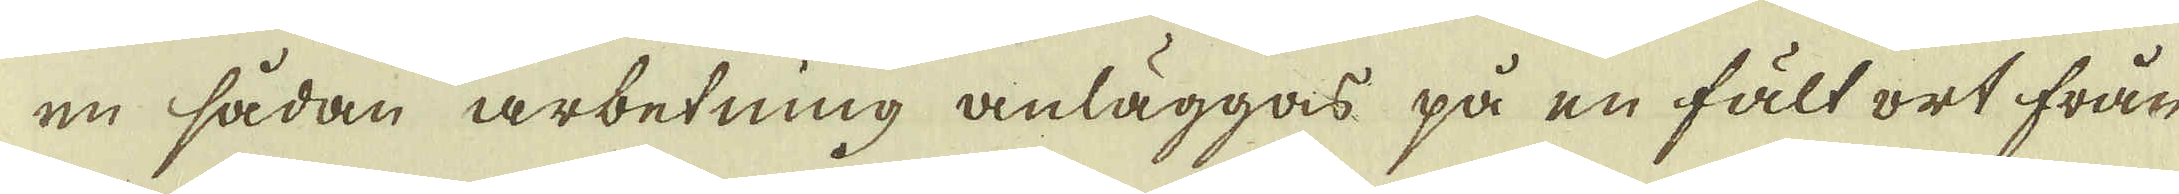en sådan arbetning anläggas på en fält ort från
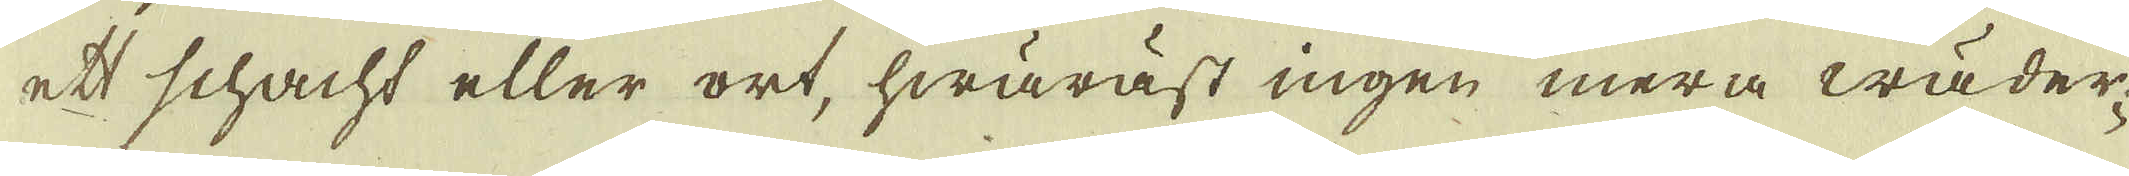ett schacht eller ort, hwäräst ingen mera wäder-
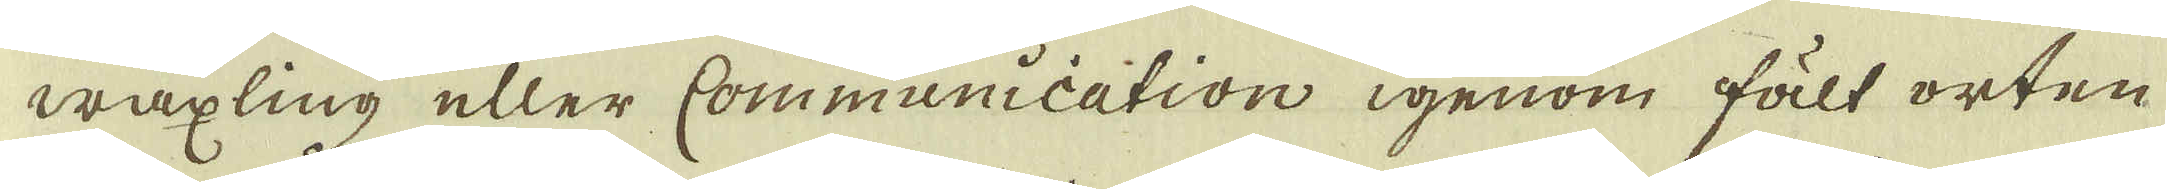wäxling eller communication igenom fält orten
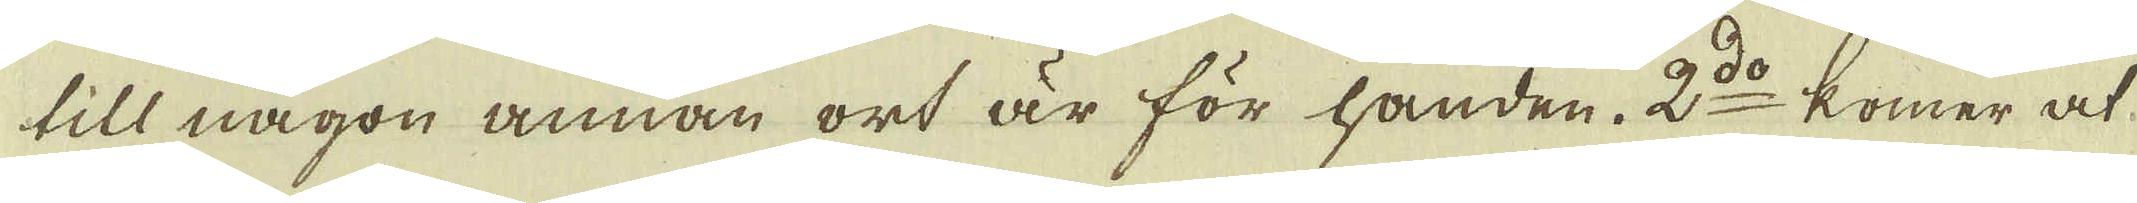till någon annan ort är för handen. 2:do komer at
